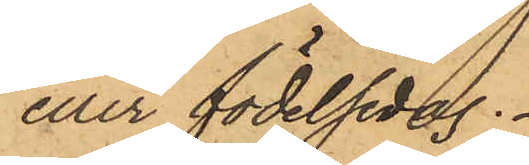eller födelsedag.
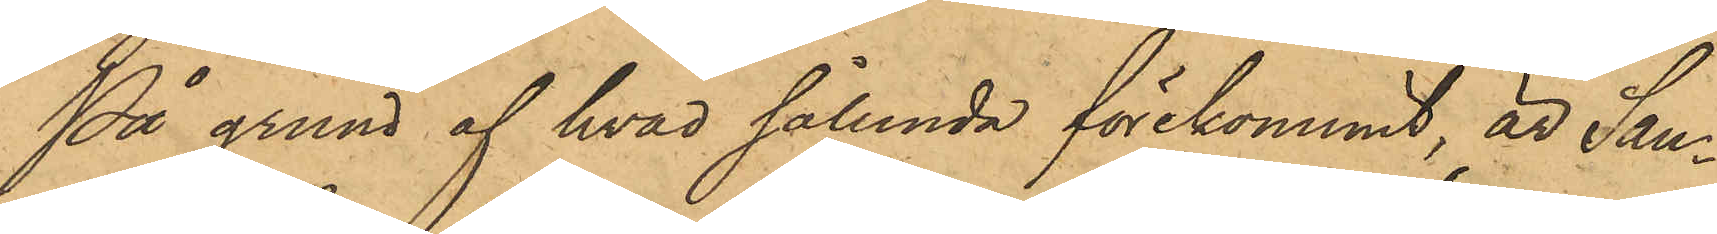På grund af hvad sålunda förekommit, är San¬
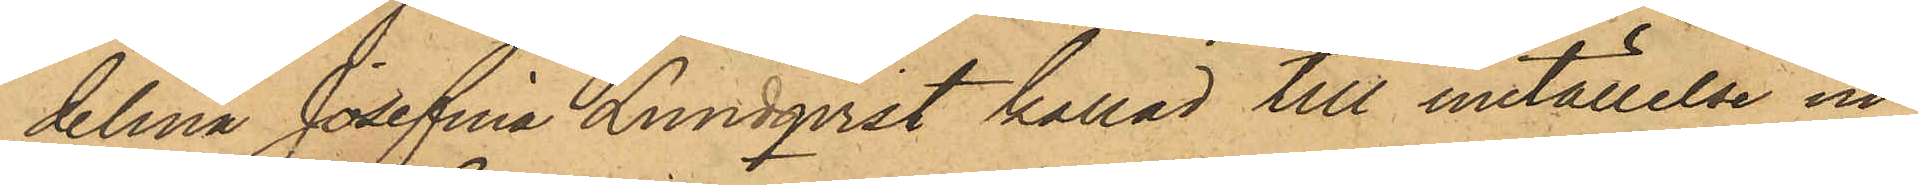delina Josefina Lundqvist kallad till inställelse in¬
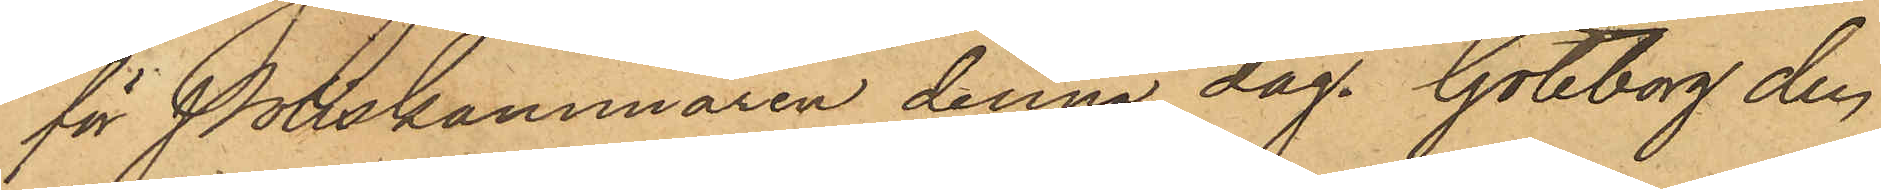för Poliskammaren denna dag. Göteborg den
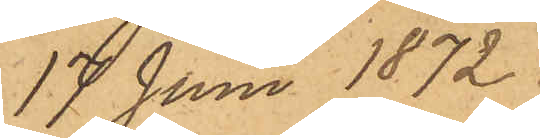17 Juni 1872.
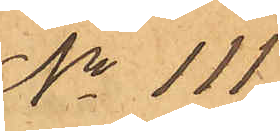No 111.
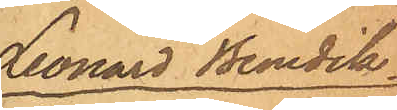Leonard Benedik¬
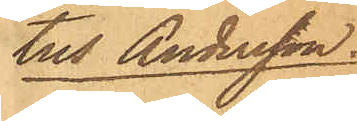tus Andersson.
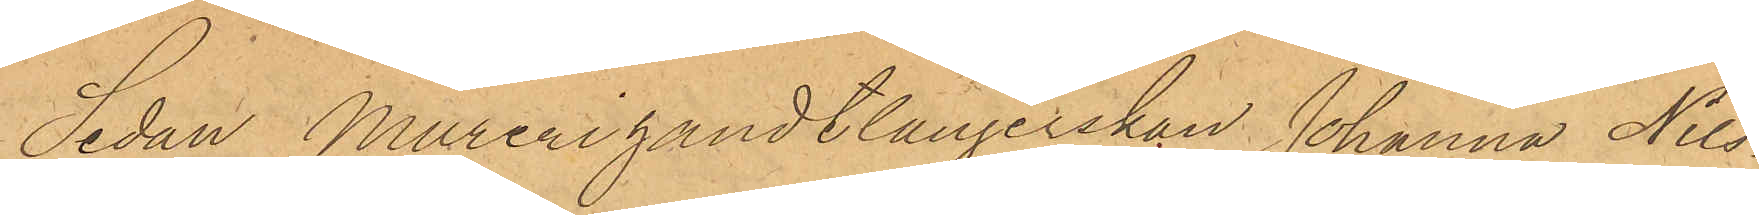Sedan Murerihandtlangerskan Johanna Nils¬
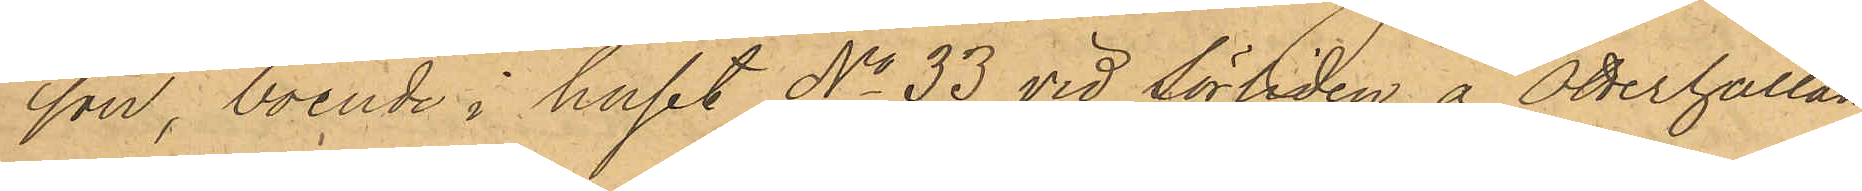son, boende i huset No 33 vid Sörliden å Otterhällan
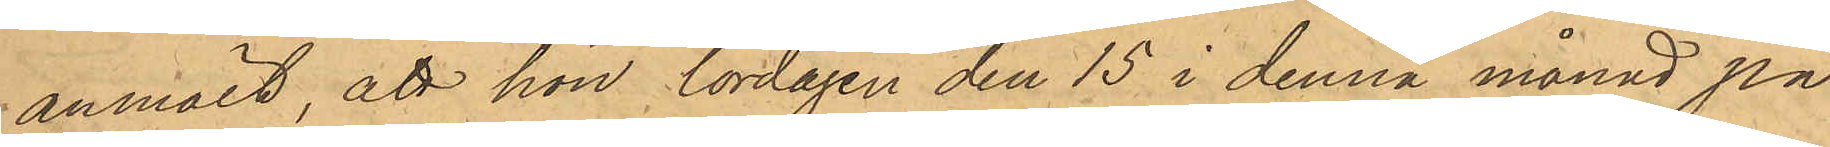anmält, att hon lördagen den 15 i denna månad på
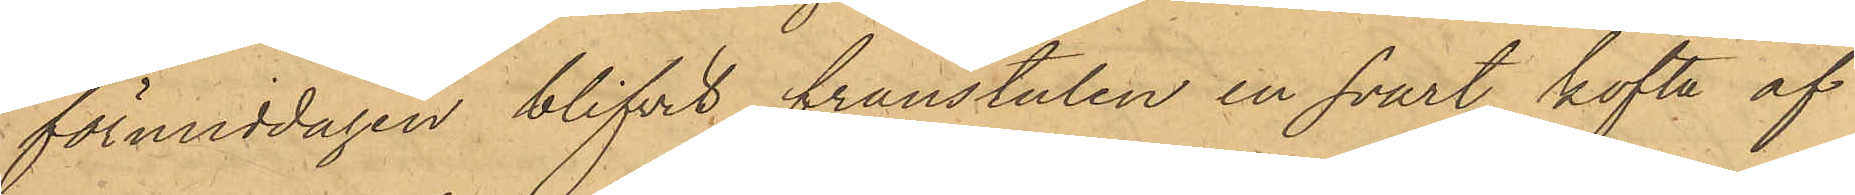förmiddagen blifvit frånstulen en svart kofta af
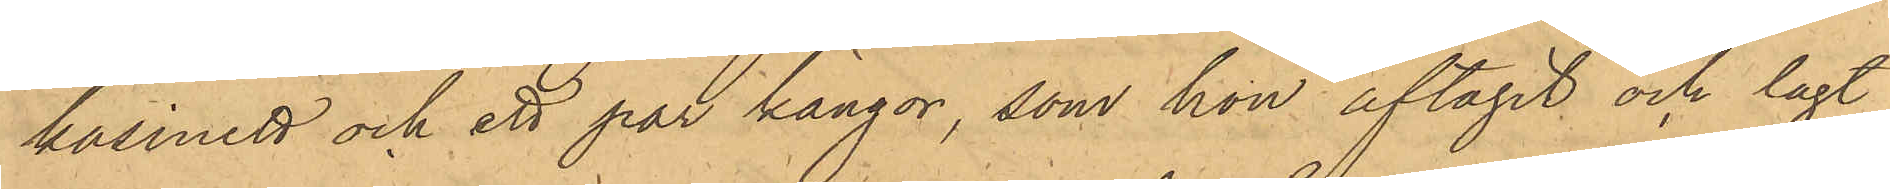kasinett och ett par kängor, som hon aftagit och lagt
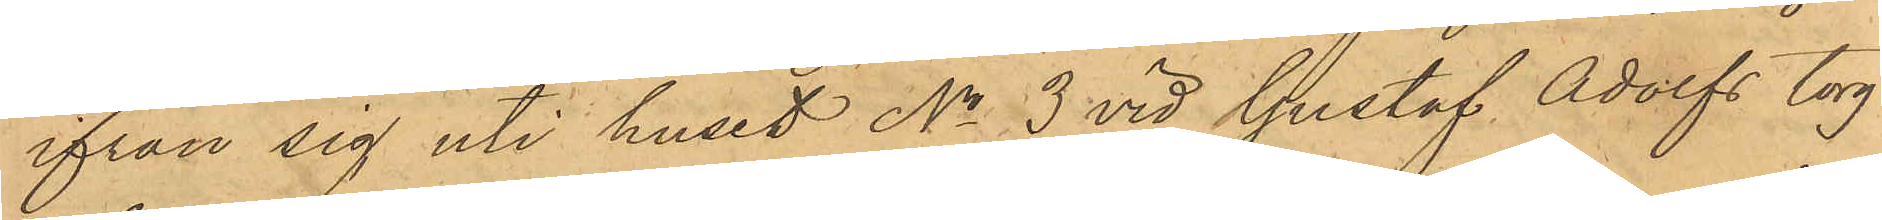ifrån sig uti huset No 3 vid Gustaf Adolfs torg
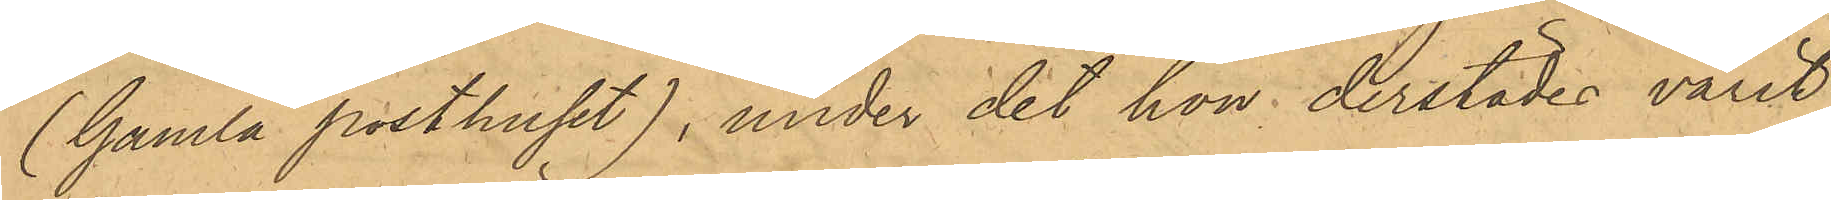(Gamla posthuset), under det hon derstädes varit
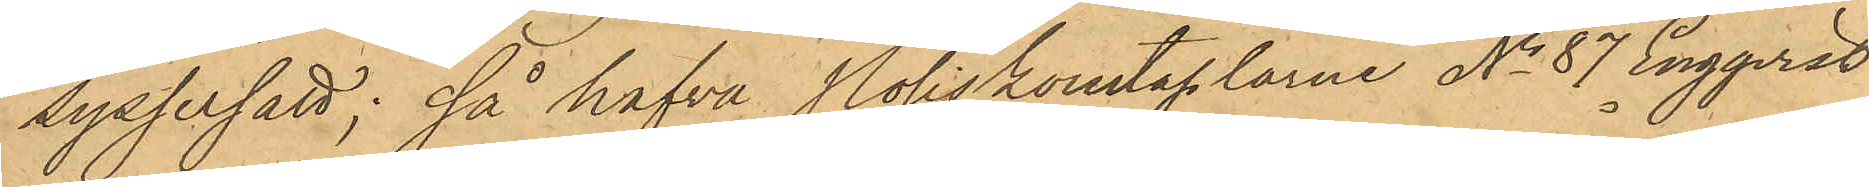sysselsatt; så hafva Poliskonstaplarne No 87 Engqvist,
